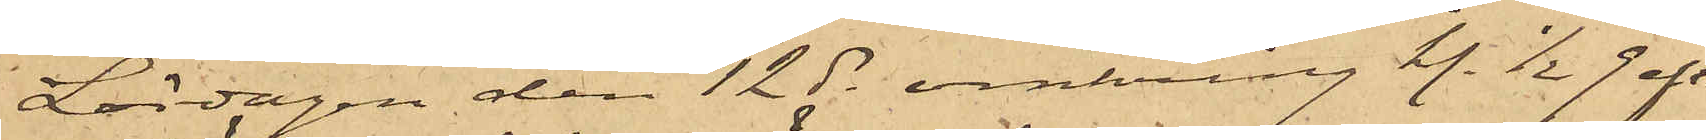Lördagen den 12 ds omkring kl. ½9 afton
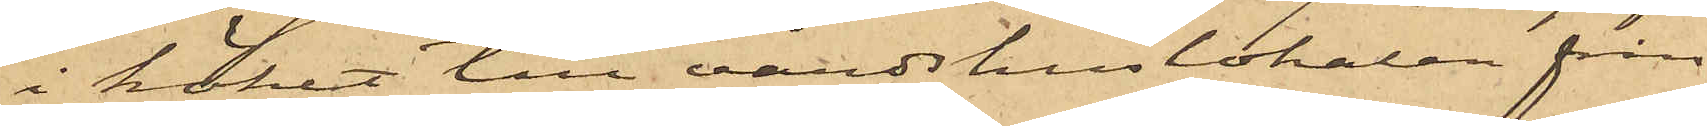i köket till värdshuslokalen från
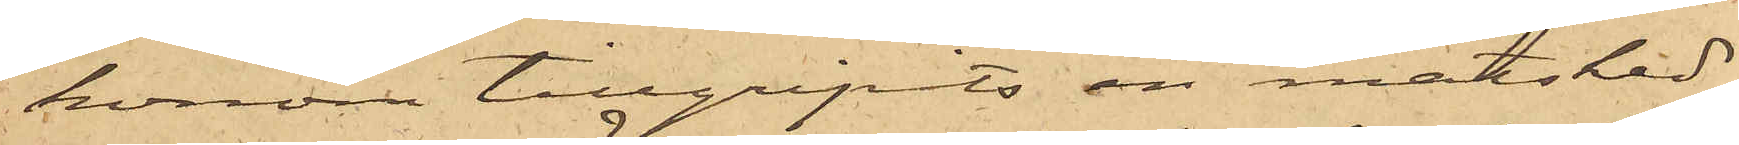honom tillgripits en matsked
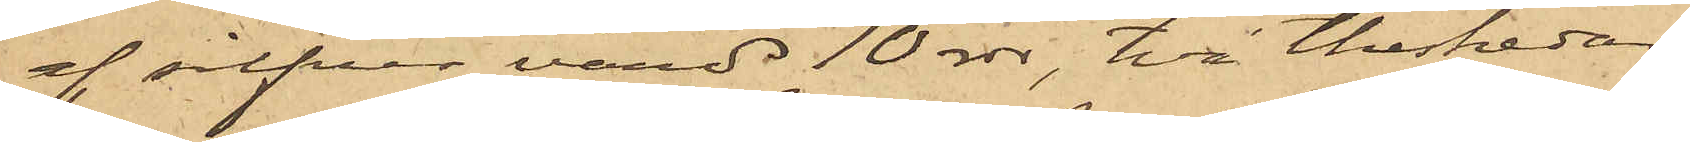af silfver värd 10 rdr, två theskedar
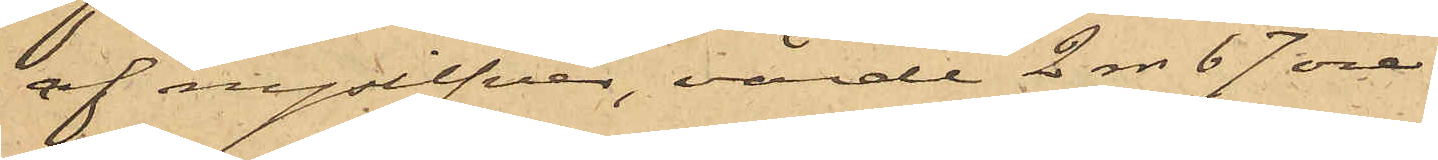af nysilfver, värde 2 rdr 67 öre
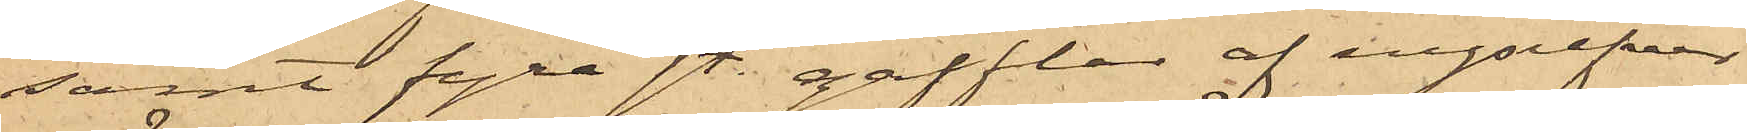samt fyra sty. gafflar af nysilfver,
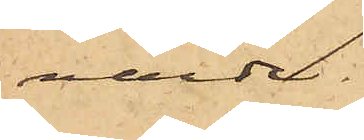värde
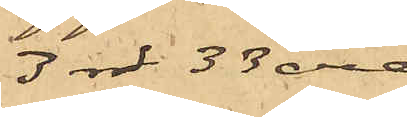3 rdr 33 öre.
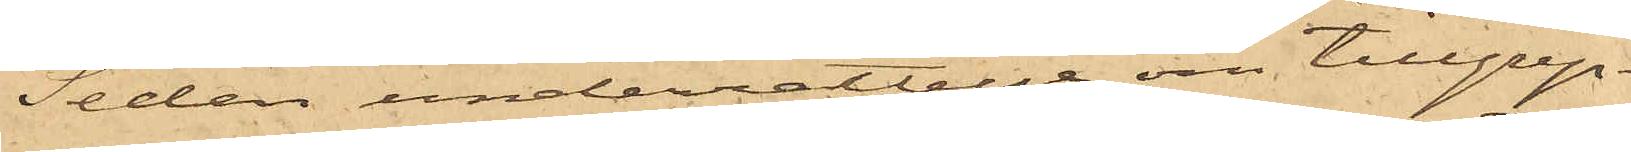Sedan underrättelse om tillgrep¬
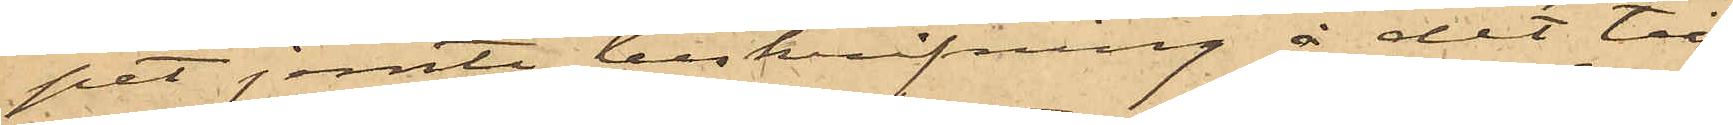pet jemte beskrifning å det till¬
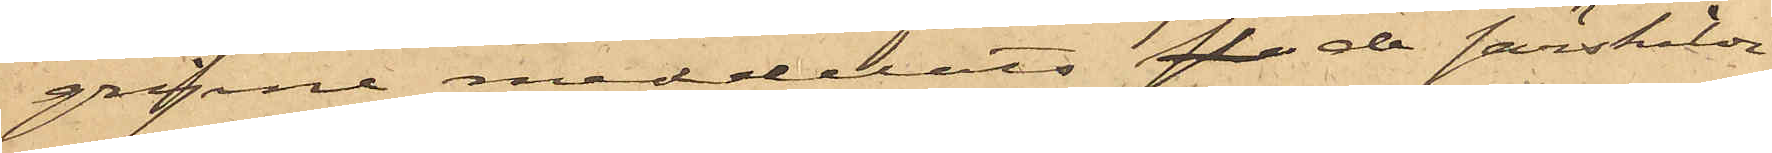gripne meddelats de särskilde
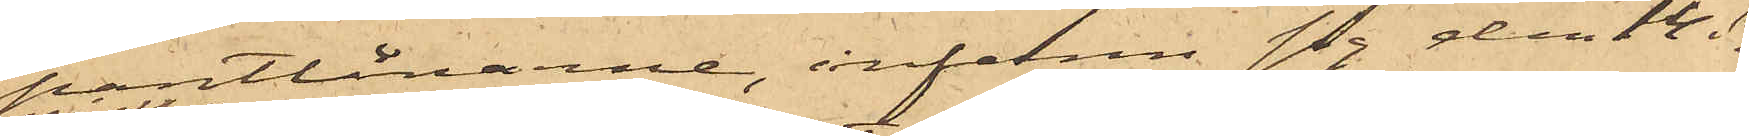pantlånarne, infann sig den 14 ds
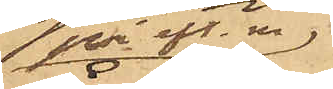på eft.m.
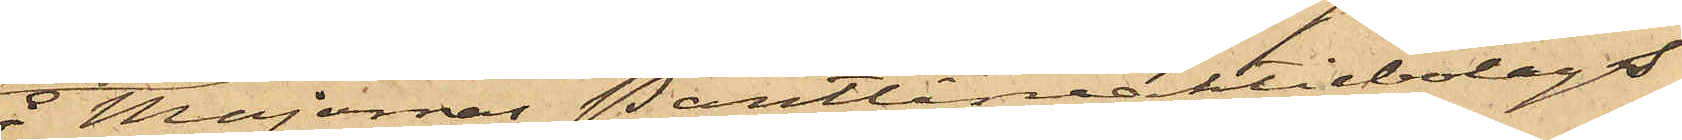å Majornas Pantlåneaktiebolags
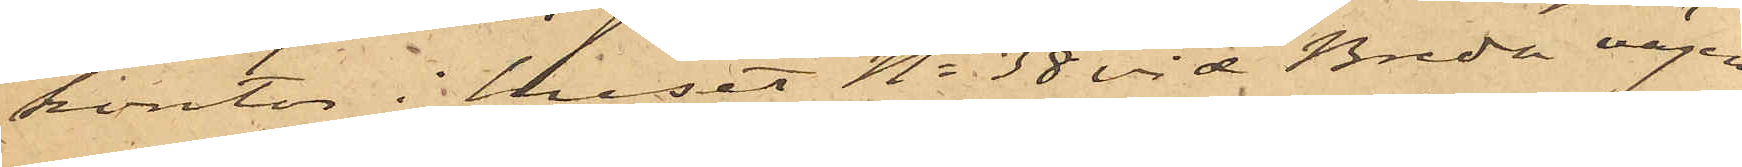kontor i huset No 38 vid Breda vägen
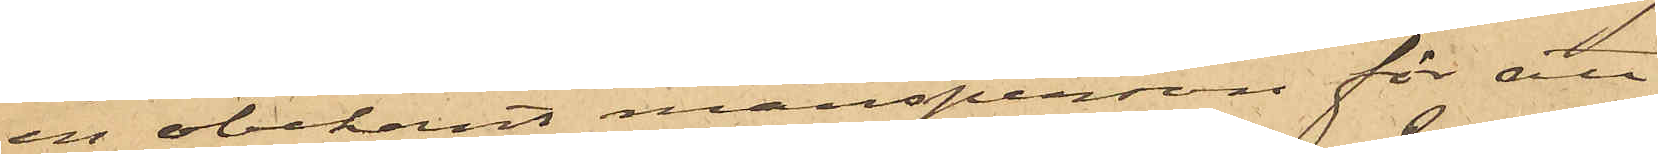en obekant mansperson för att
